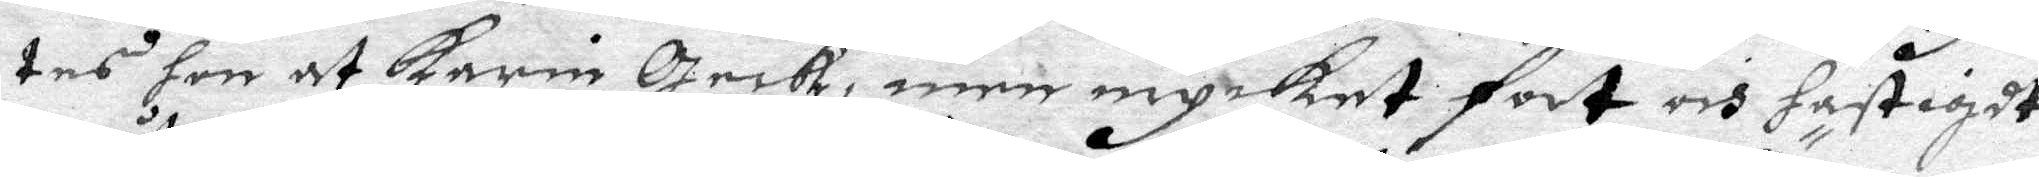tes hon at Karin geck, men mycket fort och hastigdt
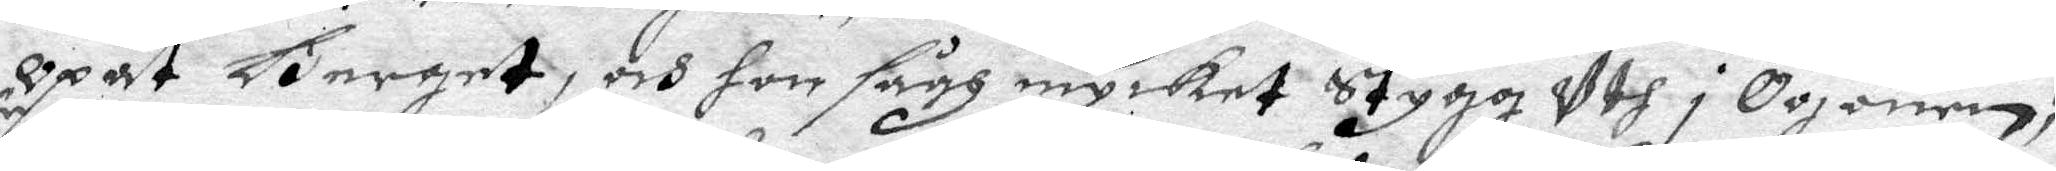Opåt Berget, och hon sågh mycket Stygg Uth i ögonen,
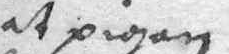at pigan
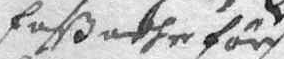faßadhe för
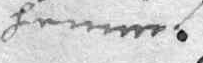henne.
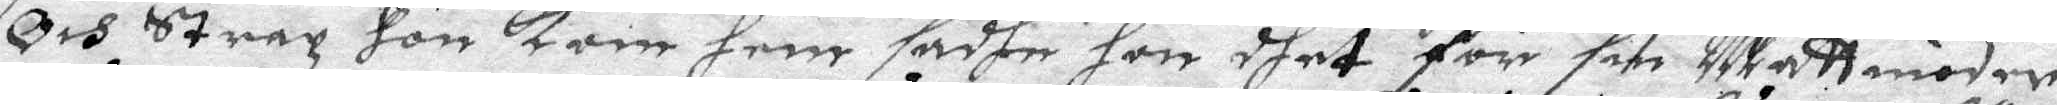Och Strax hon kom hem sadhe hon dhet för sin mattmoder
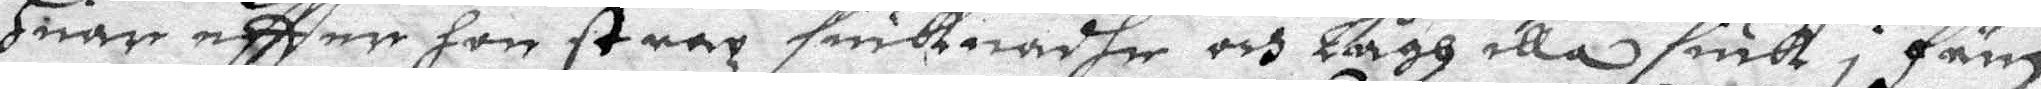Huar eftter hon strax siuknadhe och Lågh illa siuk i fäm
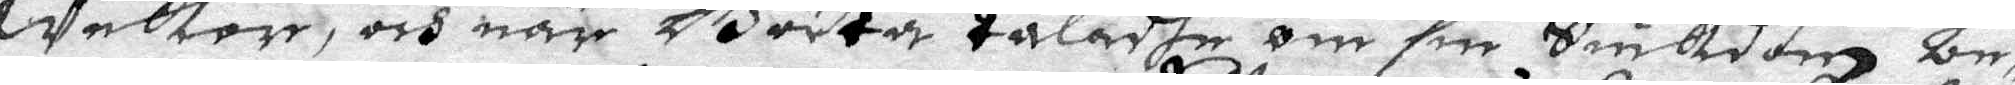weckor, och när Börta taladhe om sin Siukdom be¬
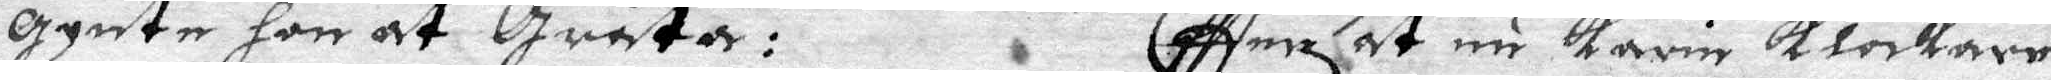gynte hon at gråta: Eftter at nu Karin klockare
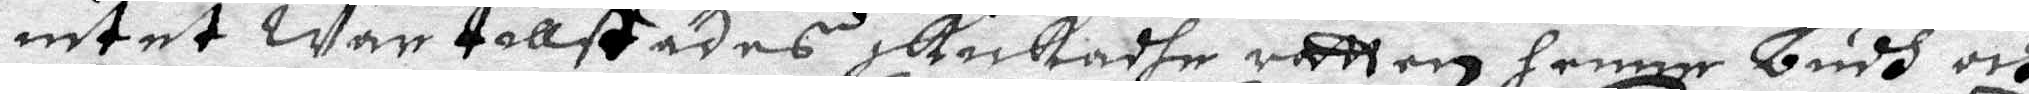intet war tillstädes skickadhe rätten henne budh och
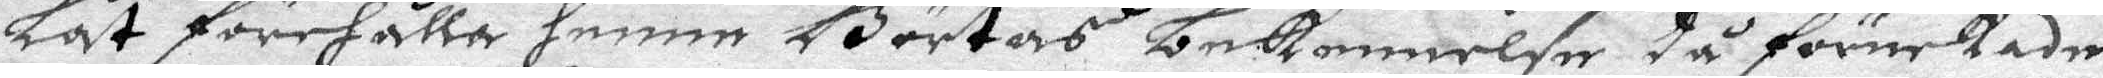Låt förehålla henne Börtas bekennese då förnekade
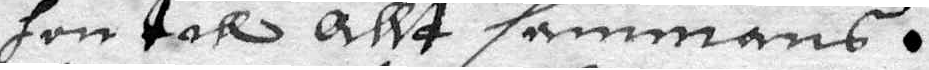hon till allt sammans.
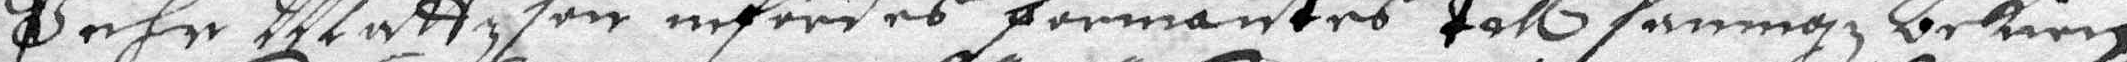Pehr mattzon infördes förmantes till sanningz bekien¬
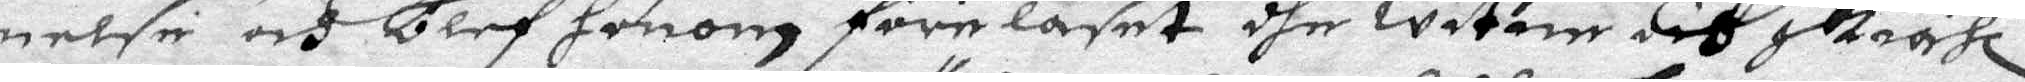nelse och blef honom föreläset dhe witne och skiähl
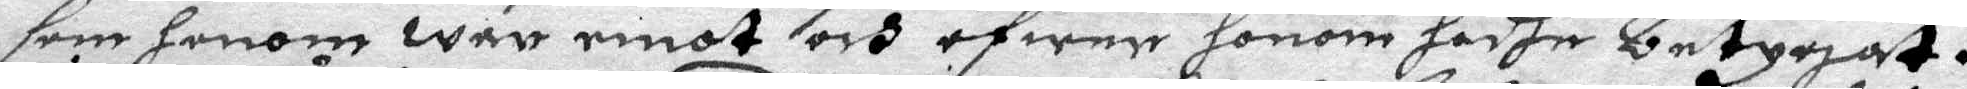som honom war emot och öfwer honom hadhe betygat.
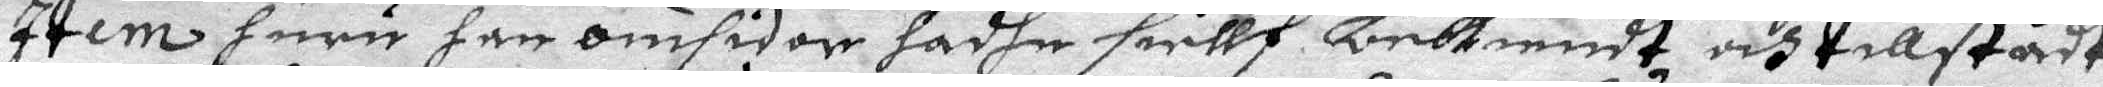Item huru han omsider hadhe siellf bekiendt, och tillstådt
